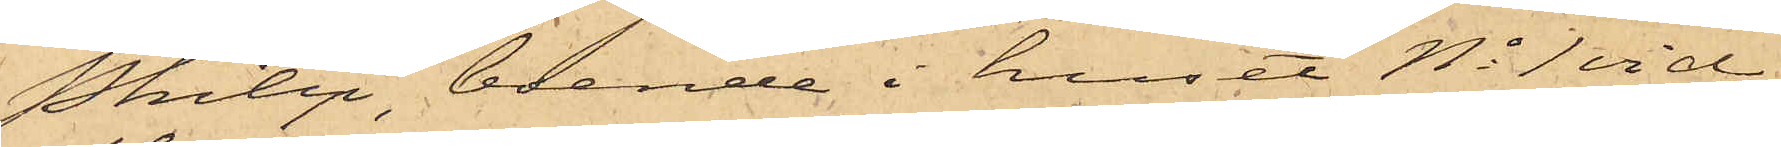Philip, boende i huset No 1 vid
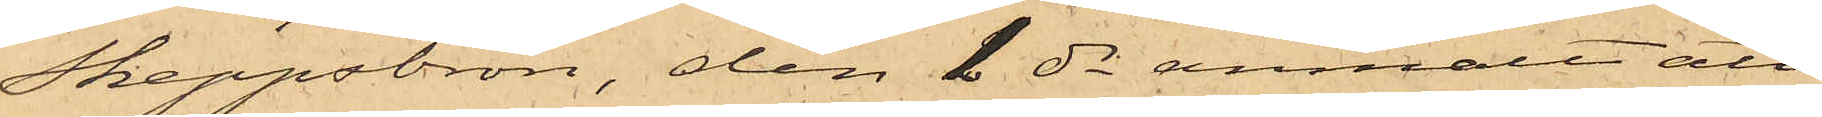Skeppsbron, den 1 ds anmält att
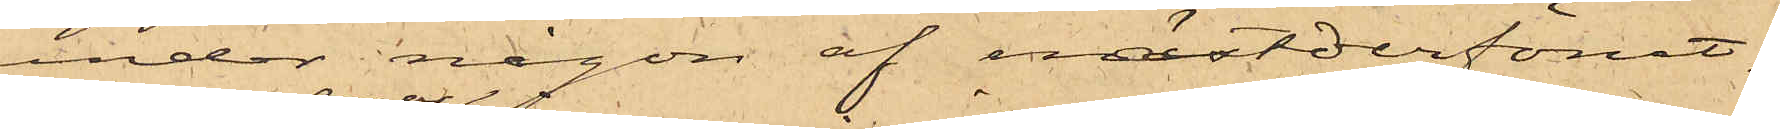under någon af nästderförut¬
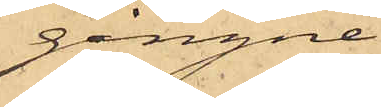gångne
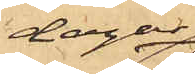dagar
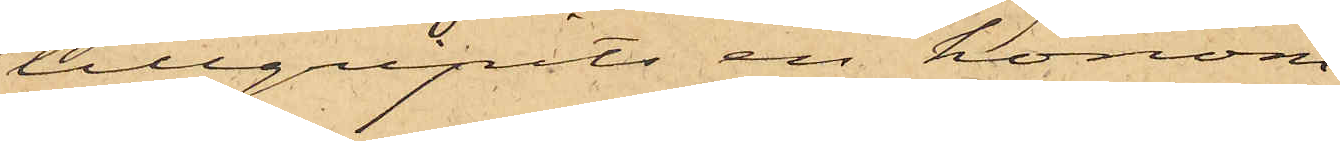tillgripits en honom
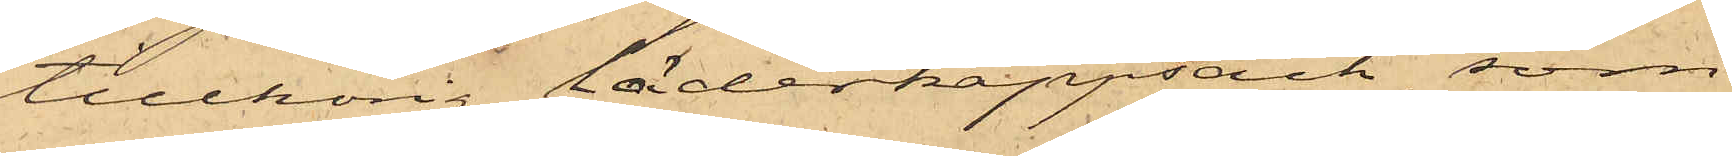tillhörig läderkappsäck, som
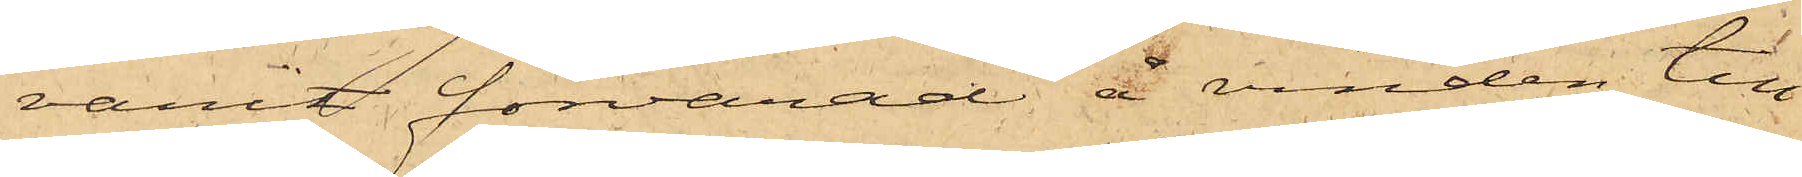varit förvarad å vinden till
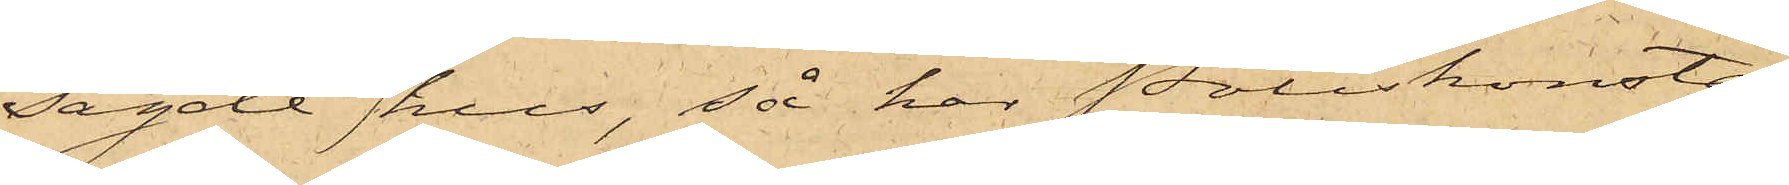sagde hus, så har Poliskonsta¬
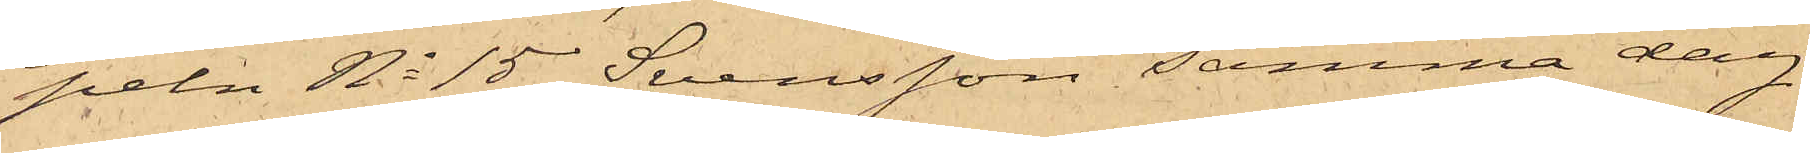peln No 15 Svensson samma dag
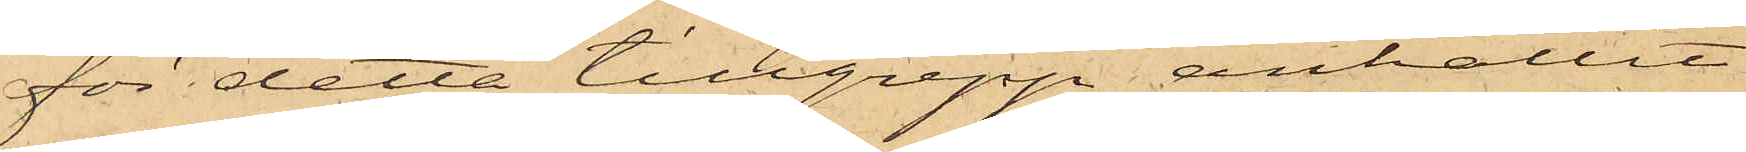för detta tillgrepp anhållit
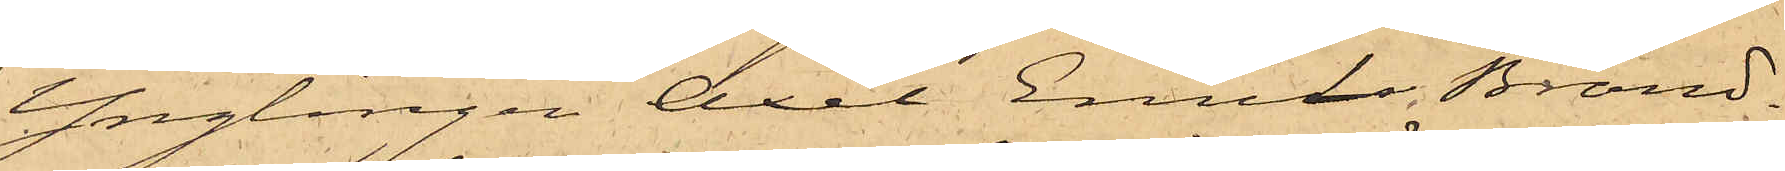Ynglingen Axel Emil Brand¬
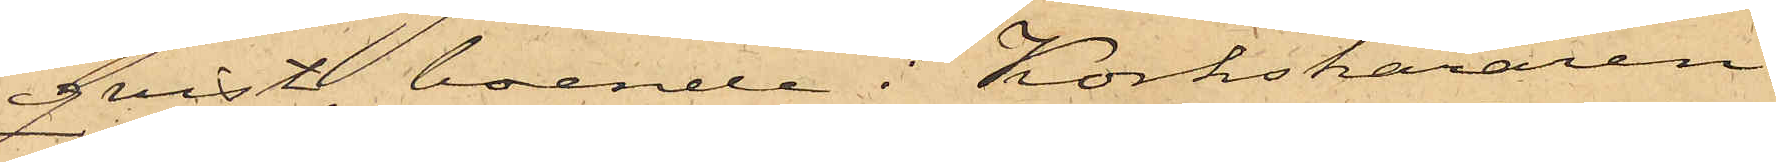qvist, boende i Korkskäraren
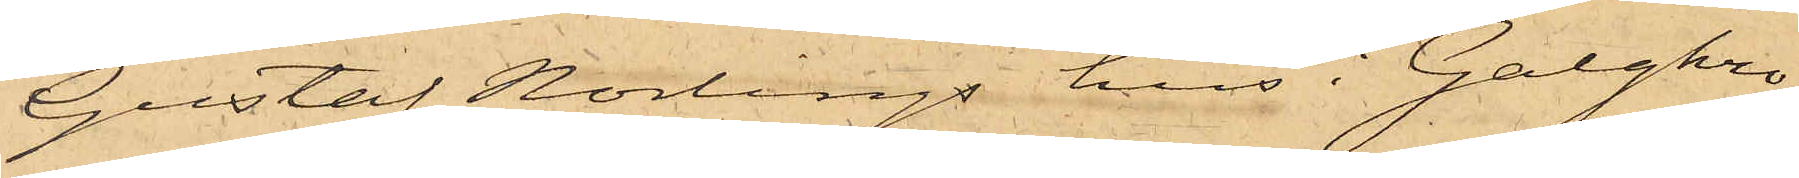Gustaf Norlings hus i Galgkro¬
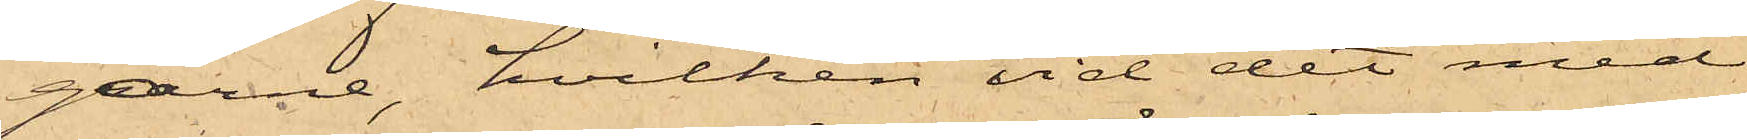garne, hvilken vid det med
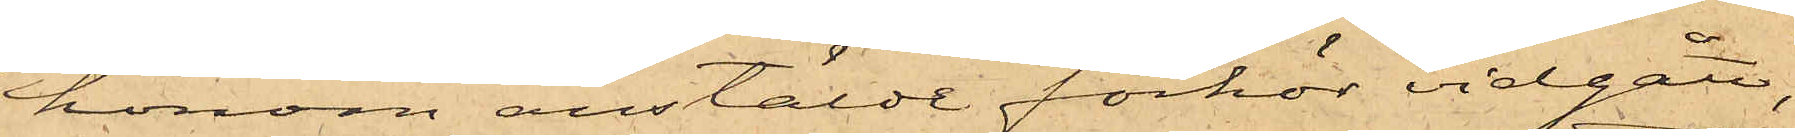honom anstäldt förhör vidgått,
